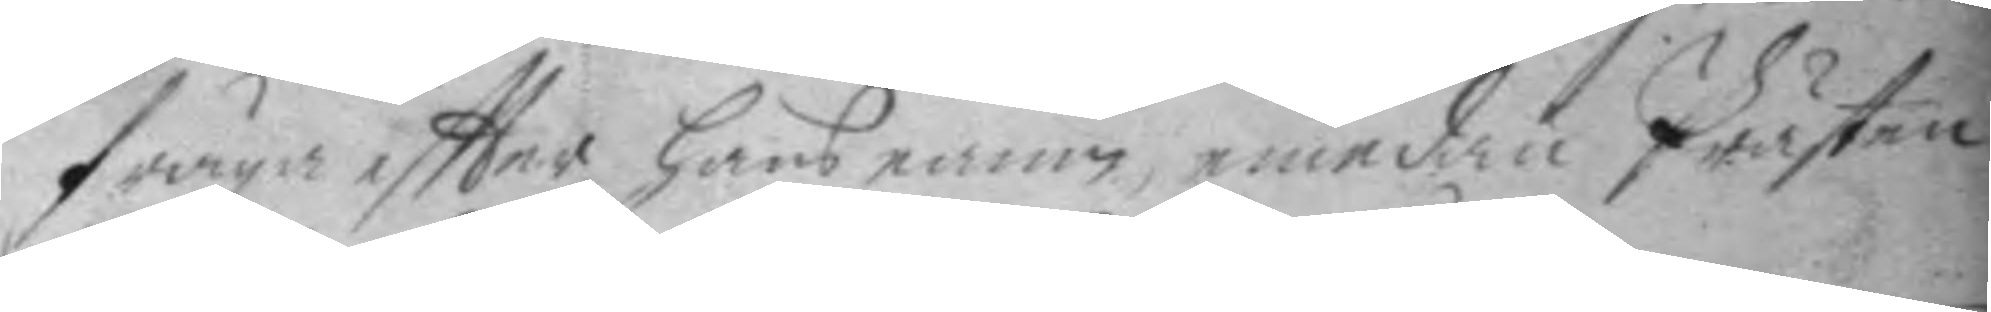fråga eftter hans namn, emedan Prästen
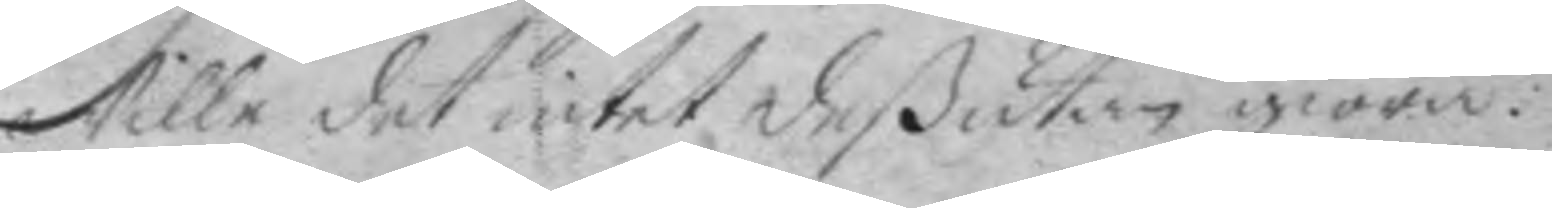wille det intet deßutan giöra.
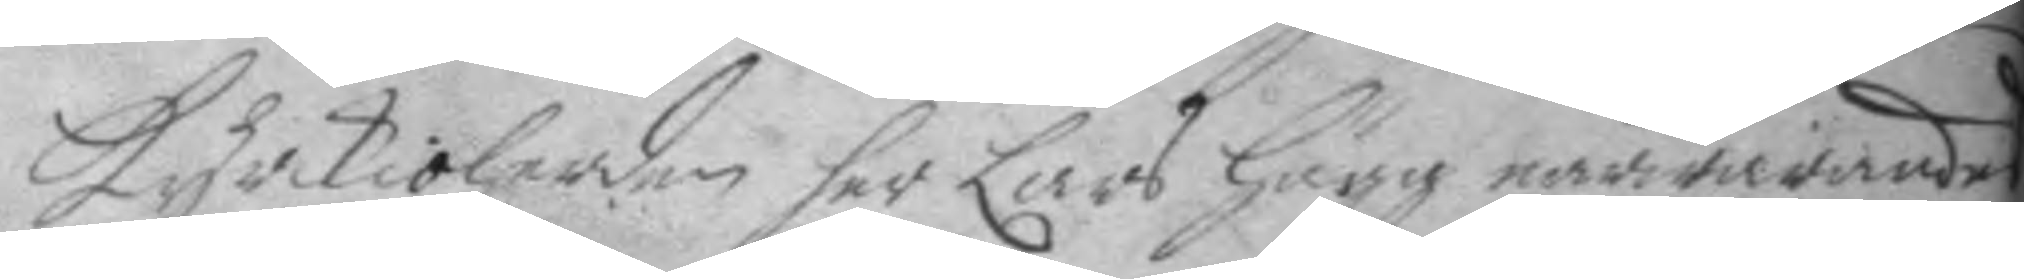kyrkioherden her Lars Hugg närwarandes
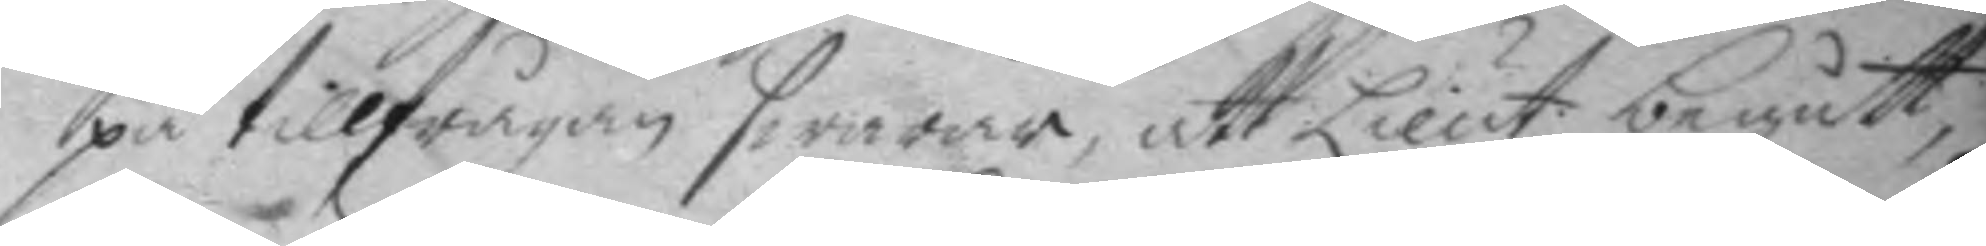på tillfrågan swarar, att Lieut. begått
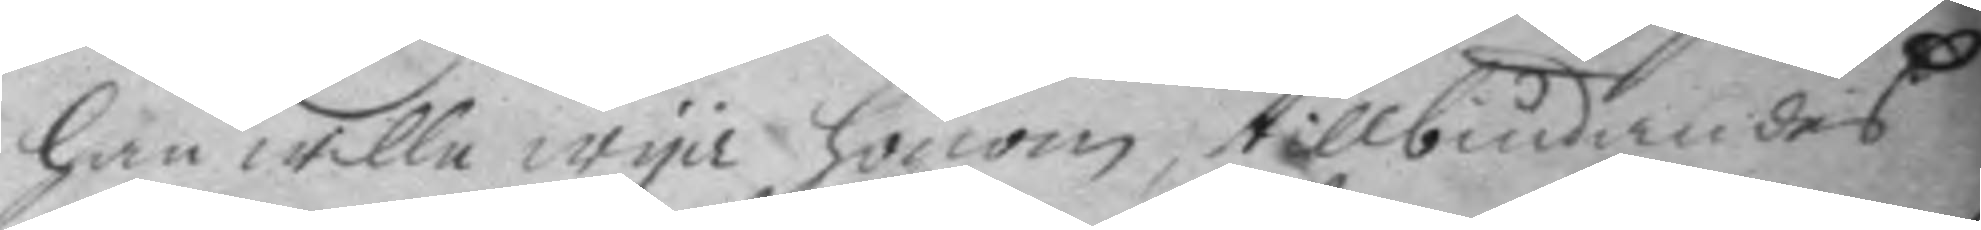han wille wya honom, tillbudandes
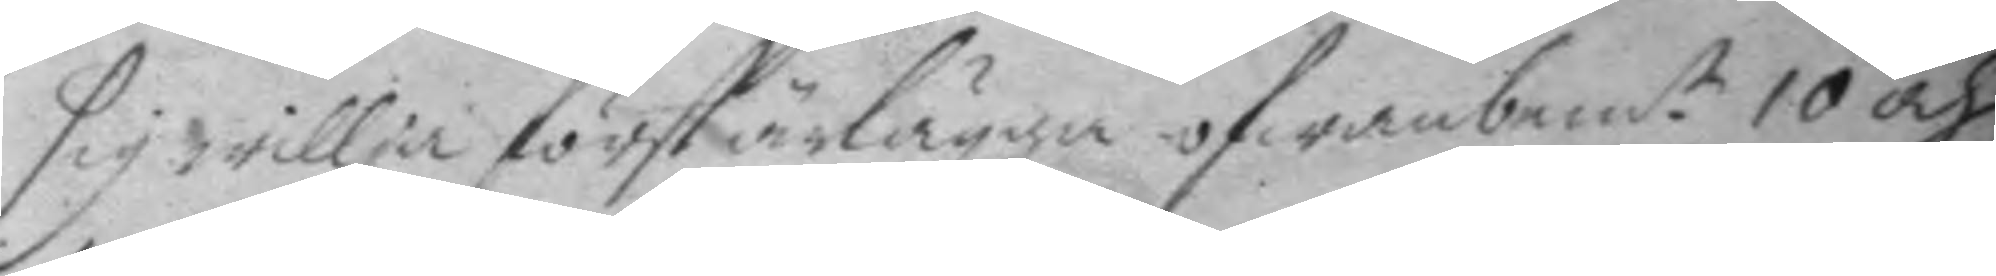sig willja först ärlägga ofwanbem.te 10 och 
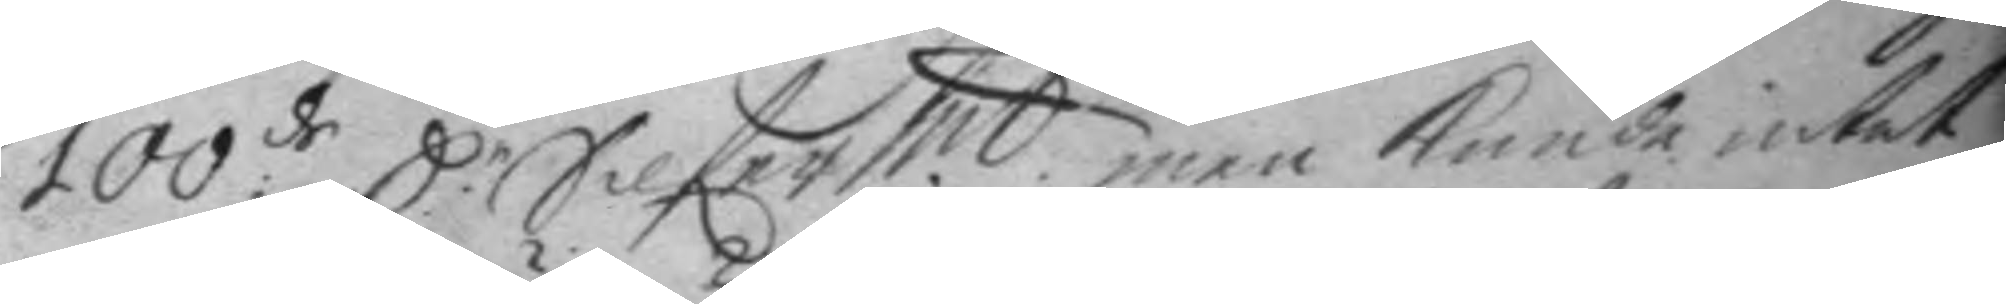100:de D.r Silferm.t, men kunde intet
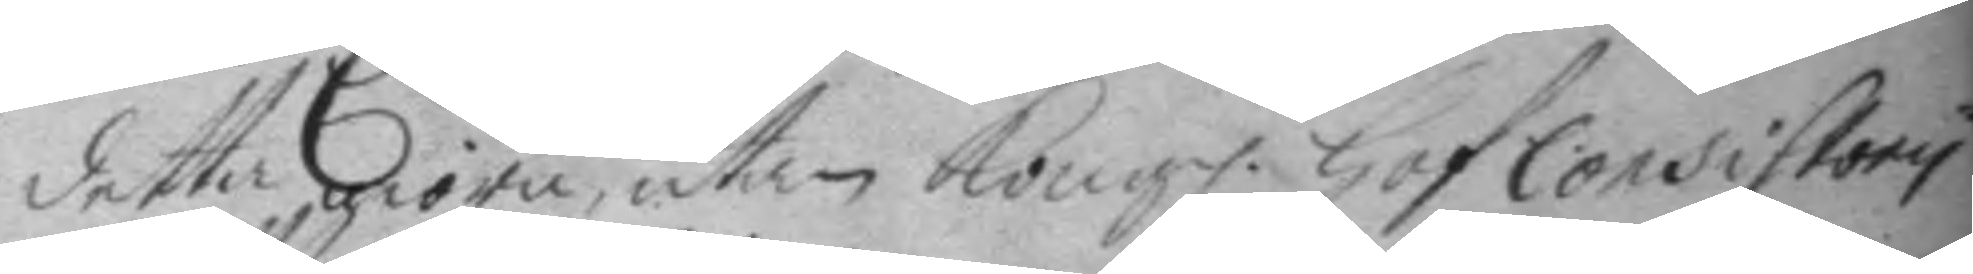detta giöra, utan Kong. Hof Consistory
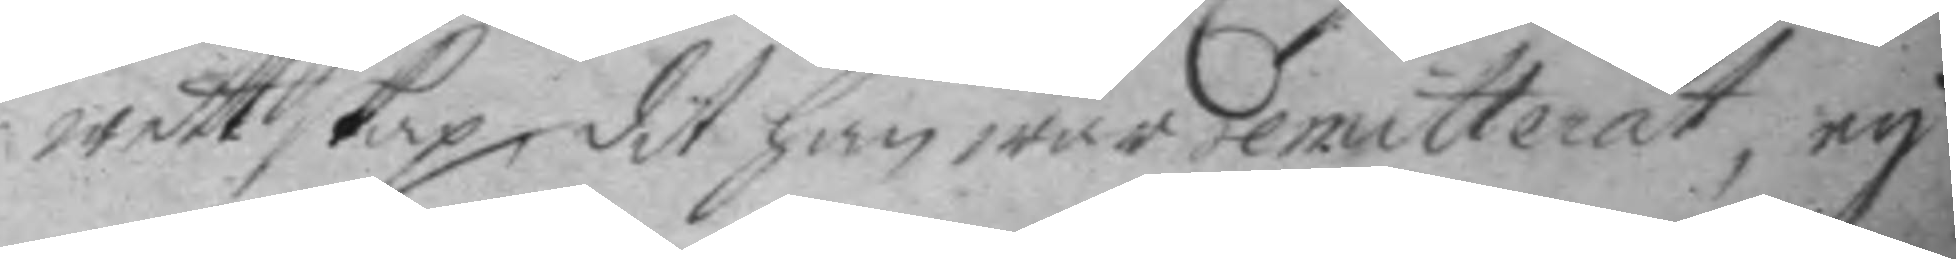wettskap dit han war remitterat, ey
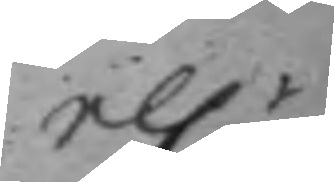el.r
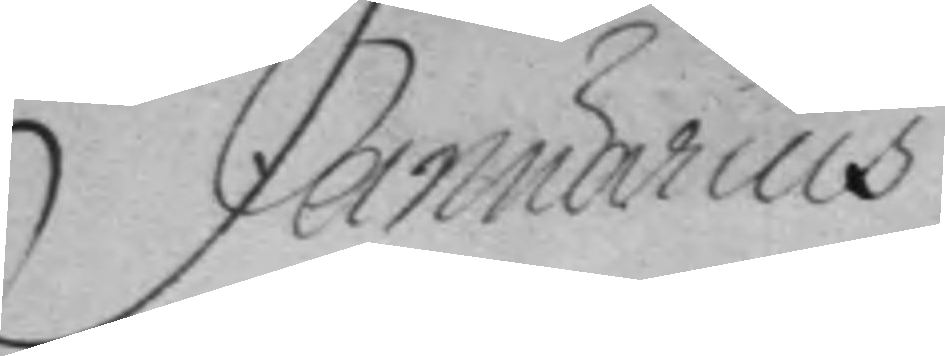Januarius
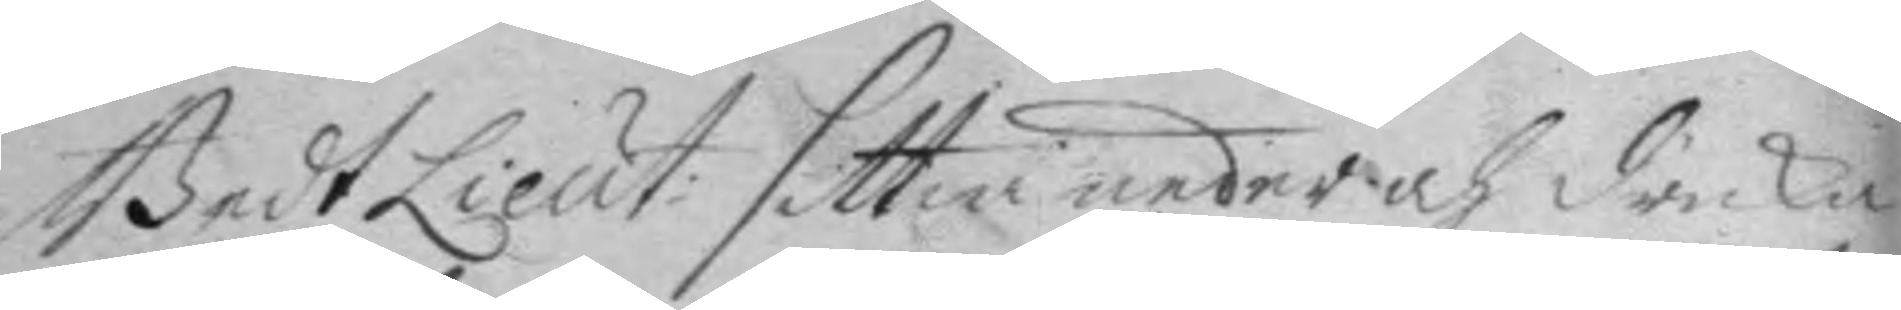Bedt Lieut: sittia neder och dricka
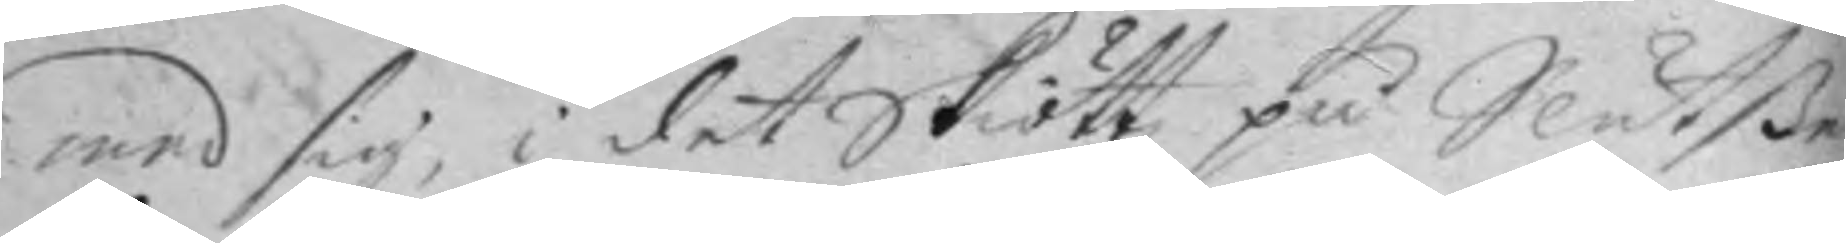med sig, i det Skiött, på Slutßer
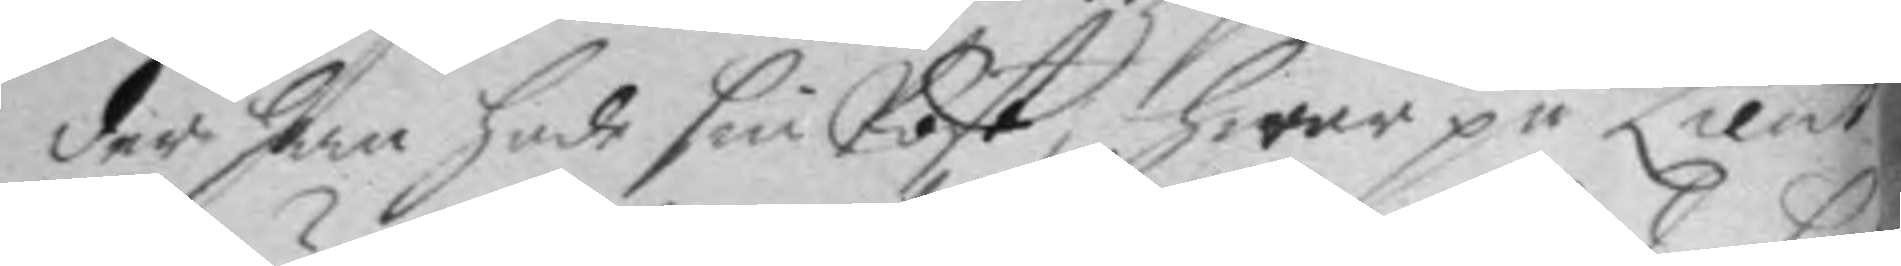der han hade sin Post, hwar på Lieut.
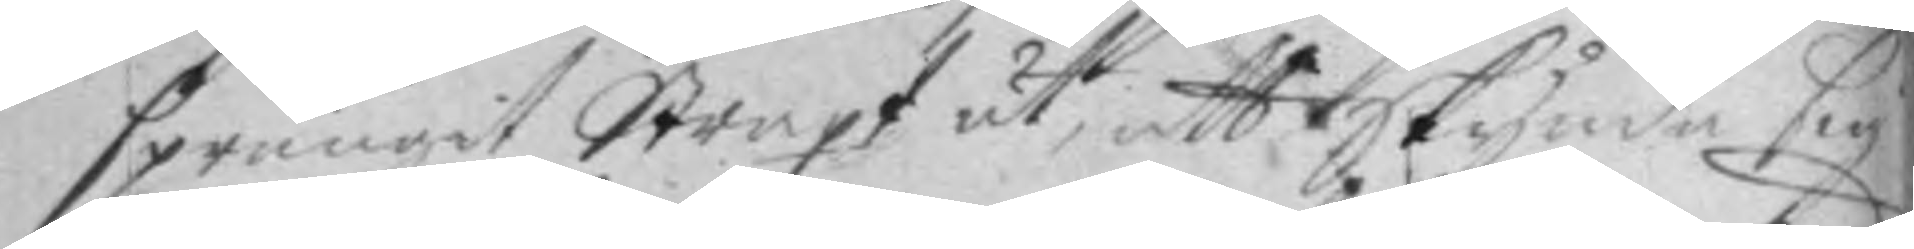sprungit Straxt ut, att Skynda sig
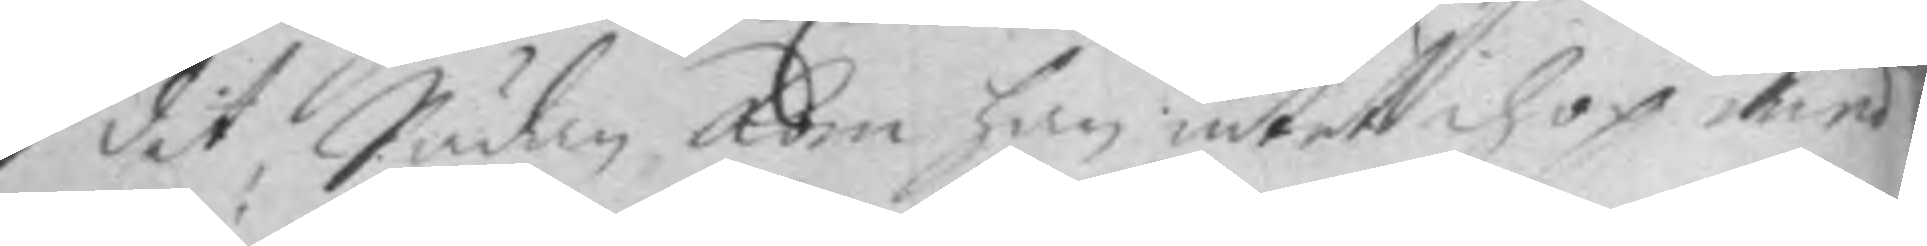dit, Sädan kom han intet ihop med
